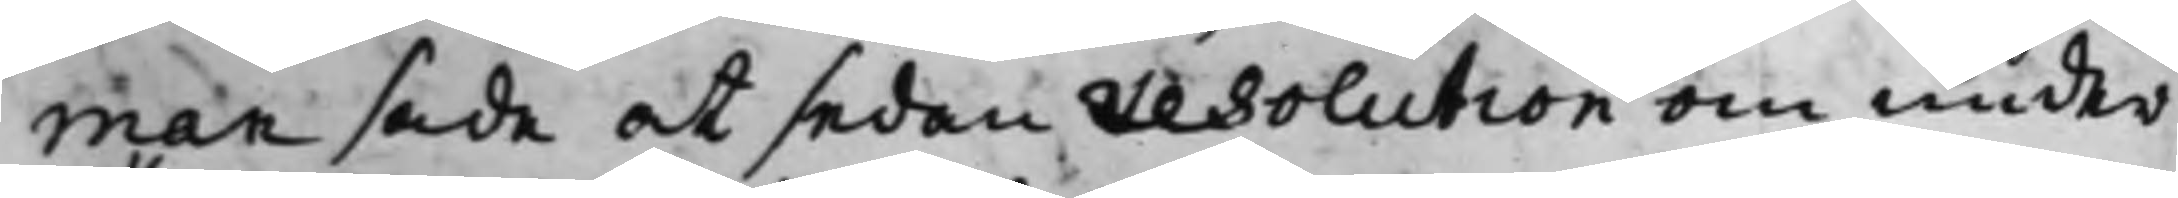man sade at sedan resolution om under¬
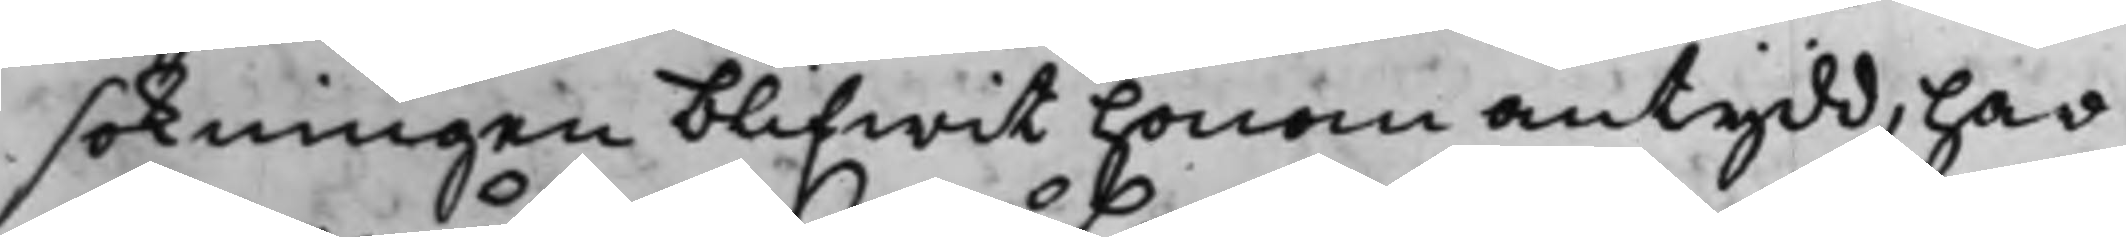sökningen blifwit honom antydd, har
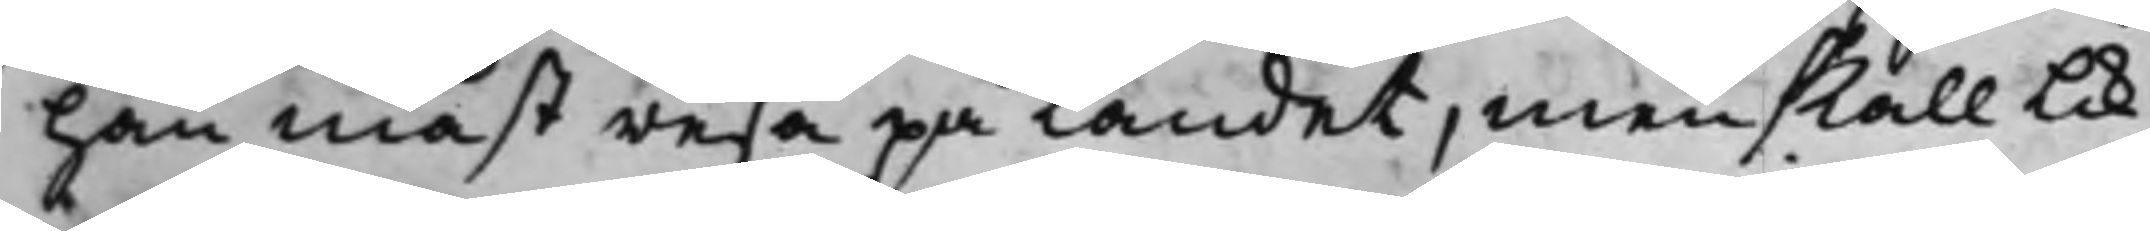han måst resa på landet, men skall lik¬
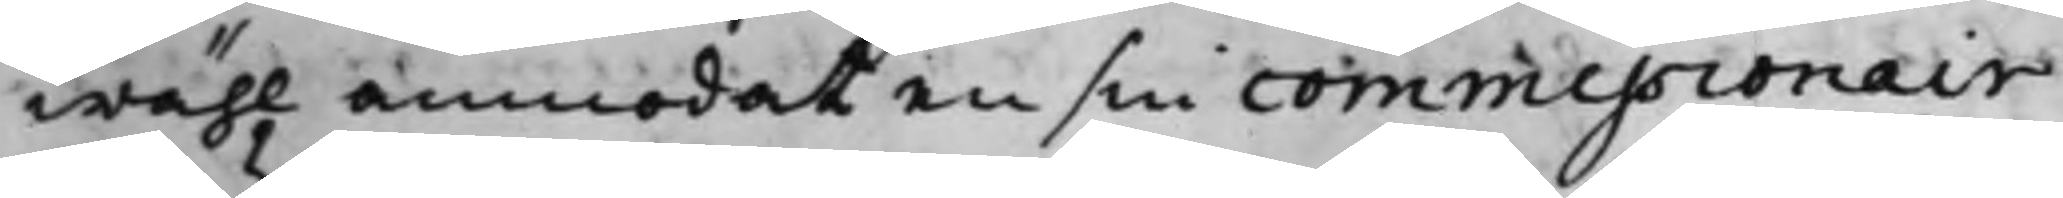wähl anmodat en sin commissionair
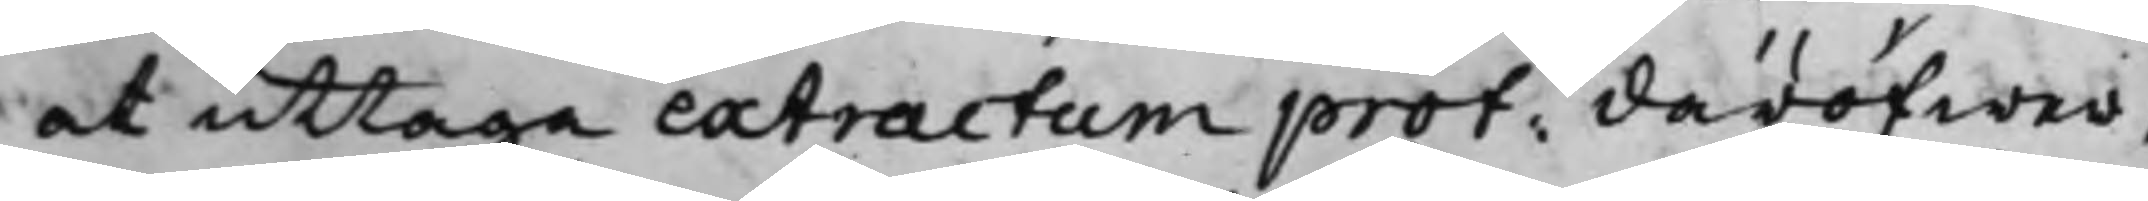at uttaga extractum prot: däröfwer,
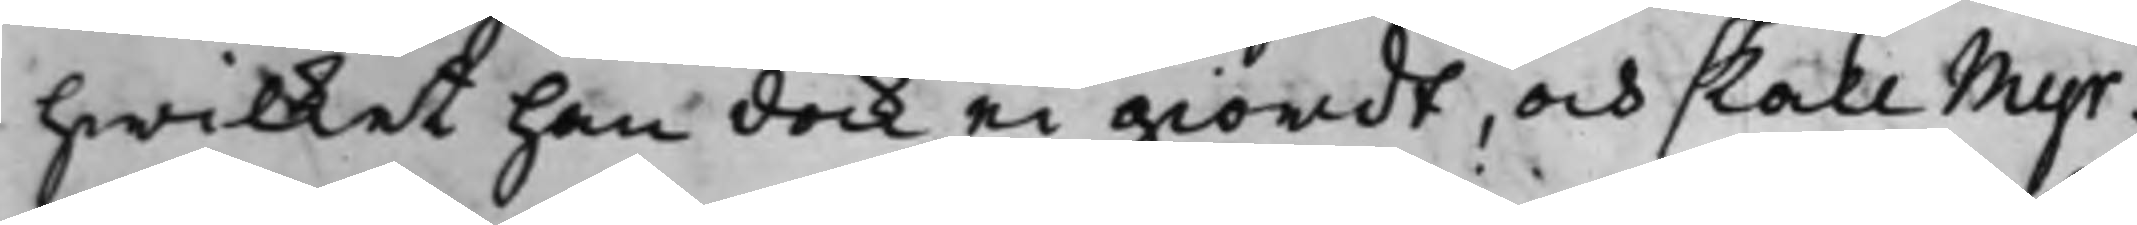hwilket han dock ei giordt, och skall Myr¬
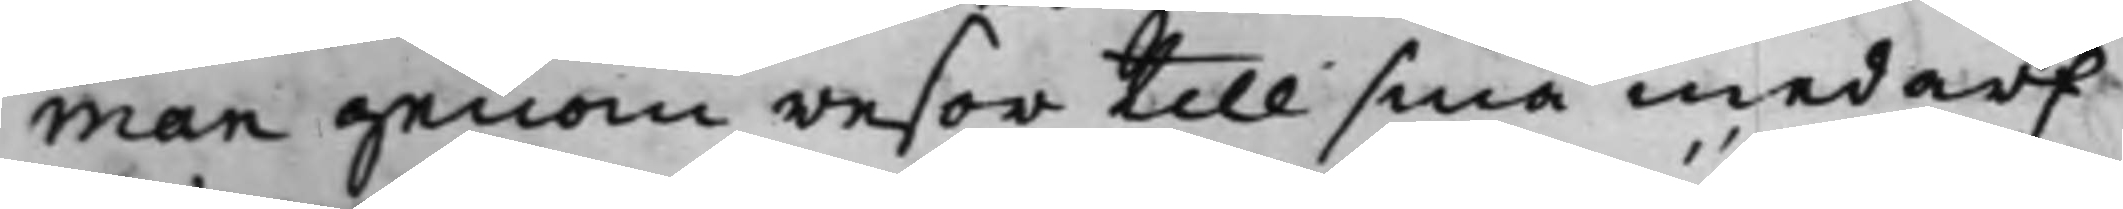man genom resor till sina medarf¬
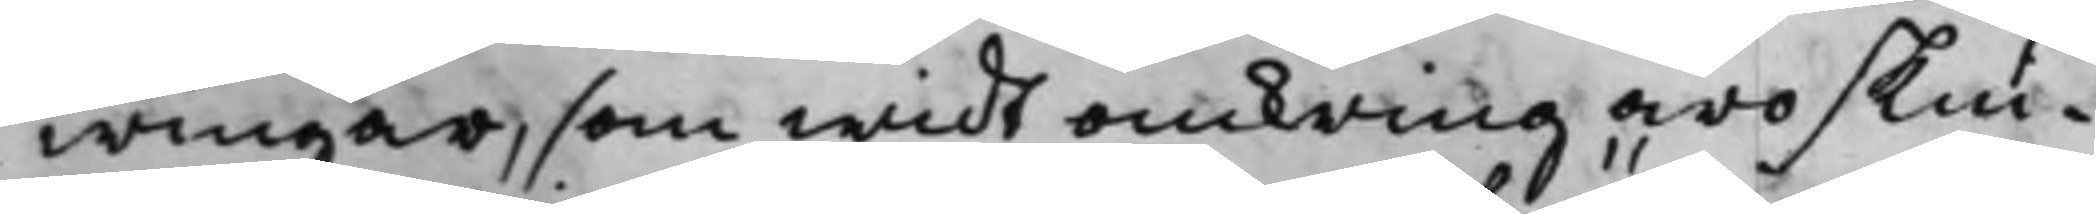wingar, som widt omkring äro skin¬
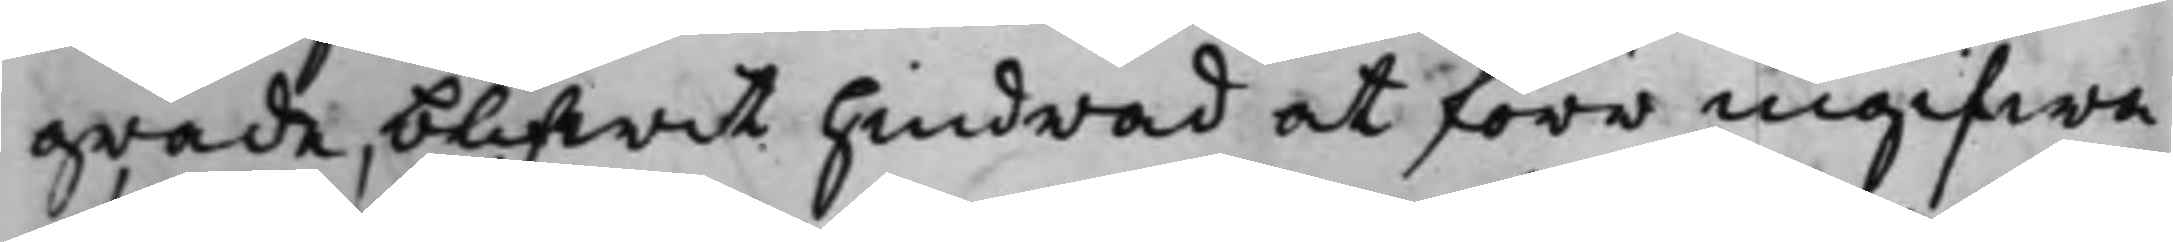grade, blifwit hindrad at förr ingifwa
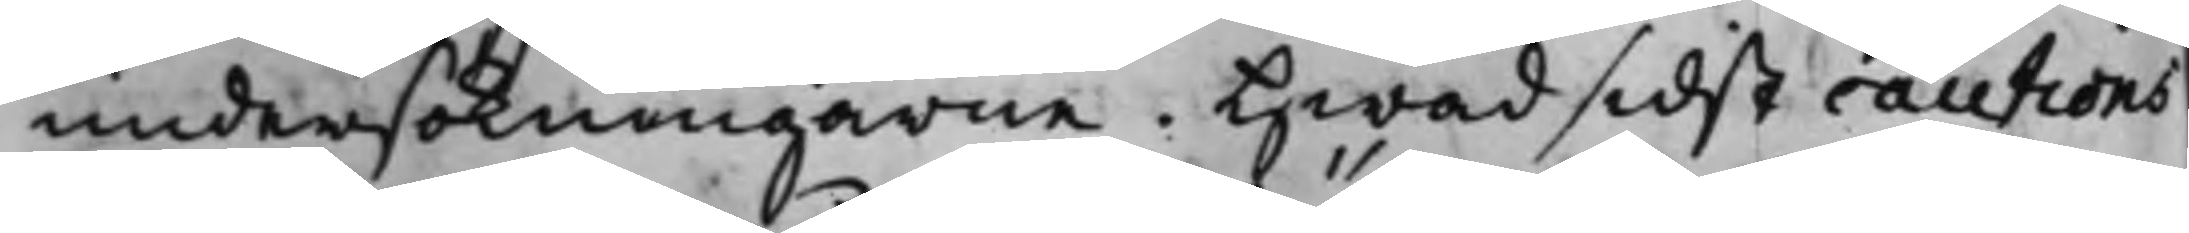undersökningarne. Hwad sidst cautions¬
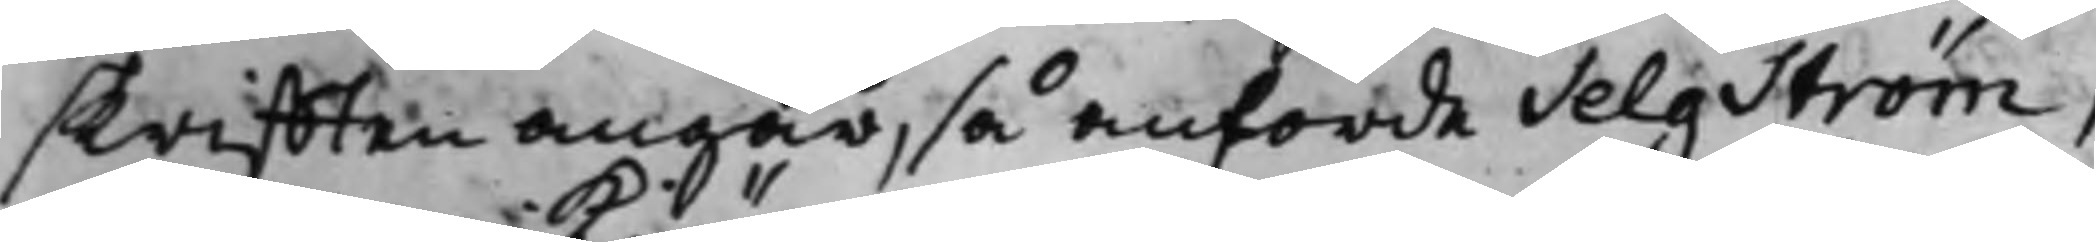skrifften angår, så anförde Selgström,
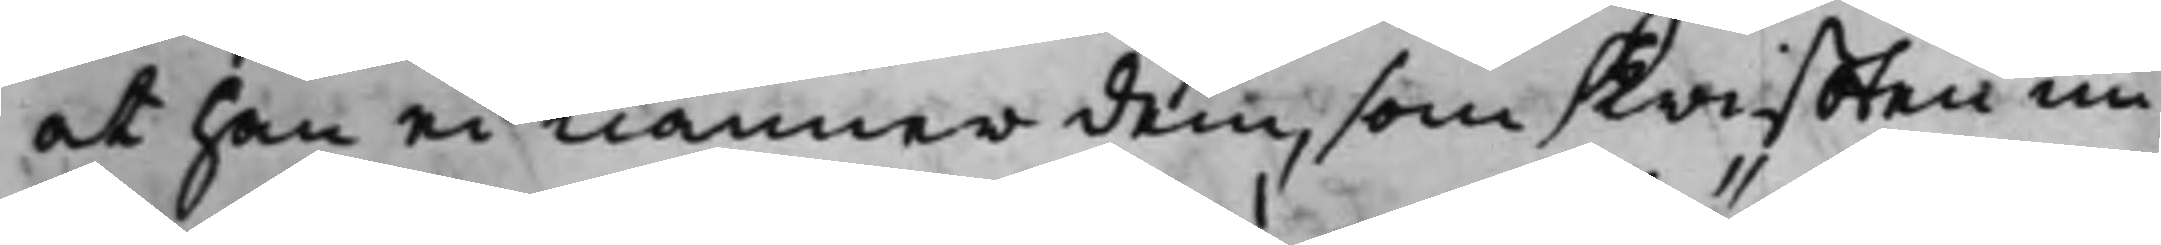at han ei kiänner dem, som skrifften un¬
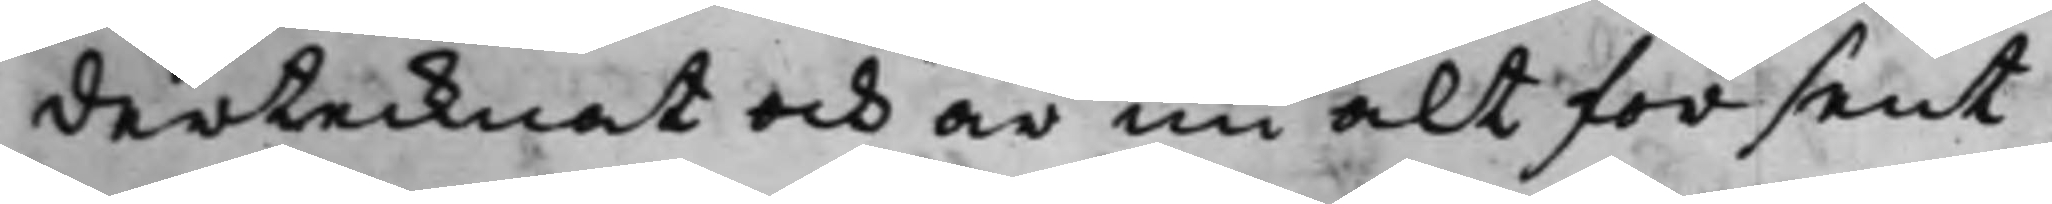dertecknat och är nu alt för sent,
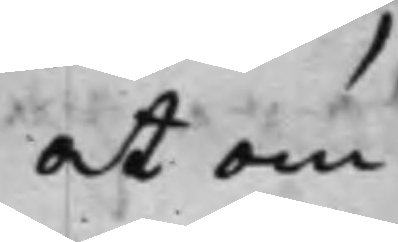at om
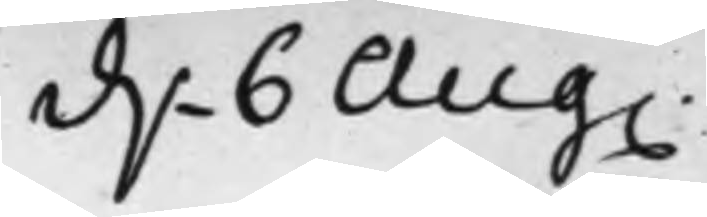d. 6 Aug.
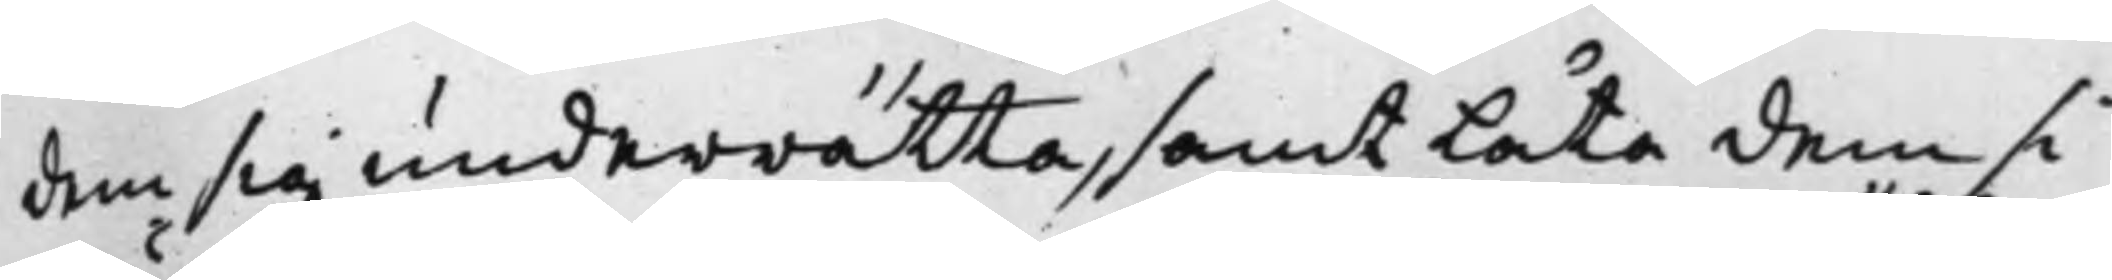dem sig underrätta, samt låta dem si¬
